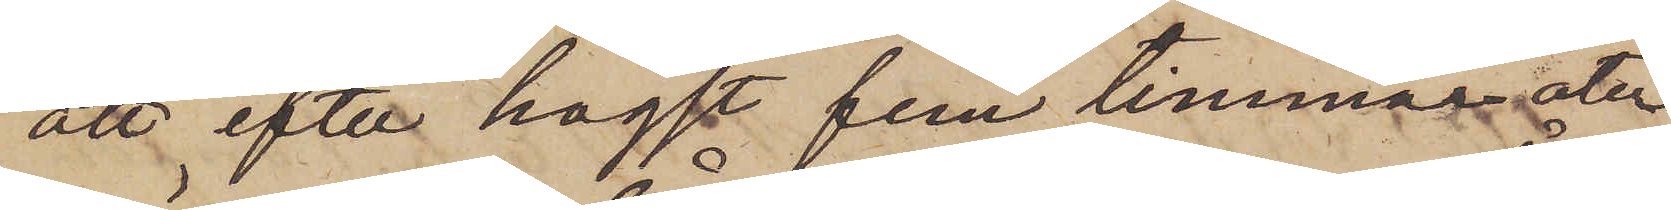att efter högst fem timmar åter¬
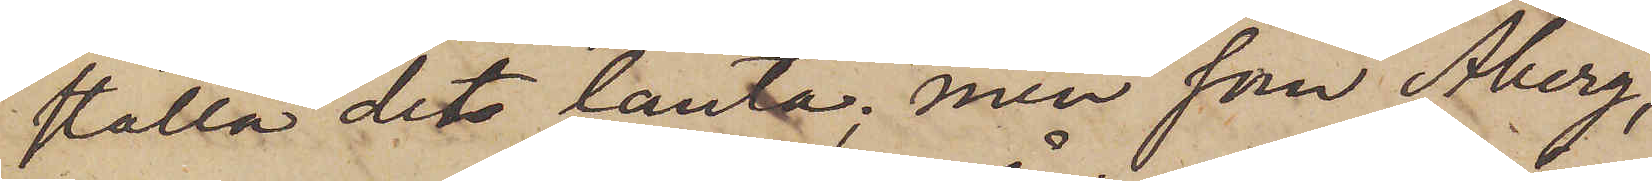ställa det lånta; men som Åberg,
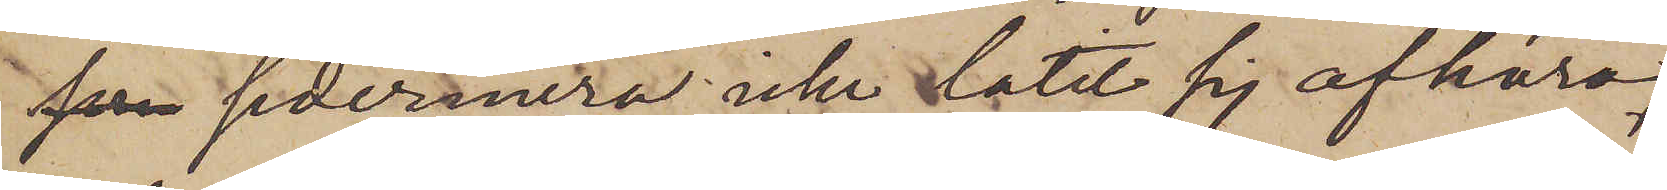som sedermera icke låtit sig afhöra,
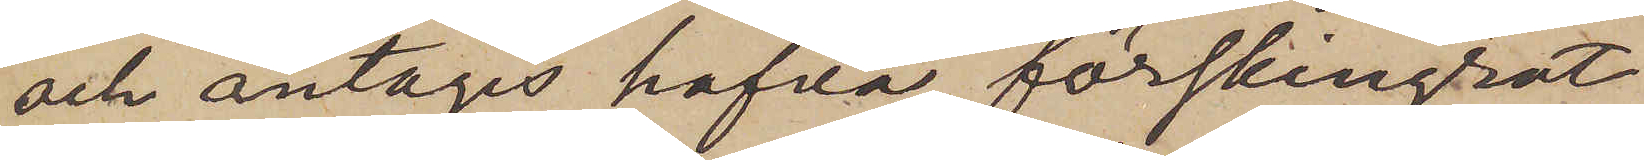och antages hafva förskingrat
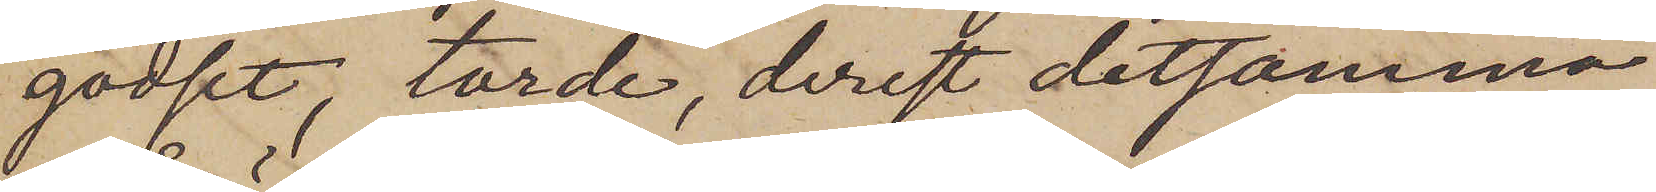godset, torde, derest detsamma
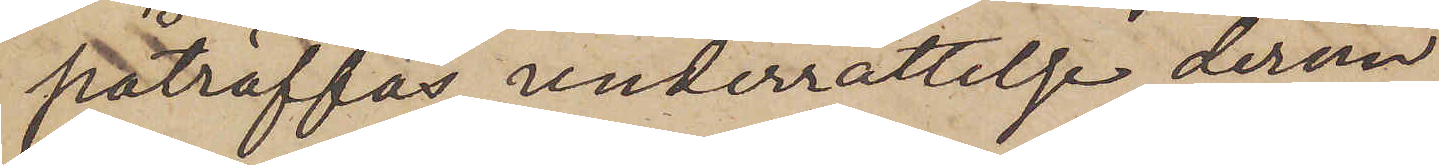påträffas, underrättelse derom
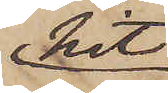hit
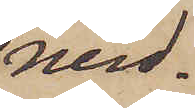med¬
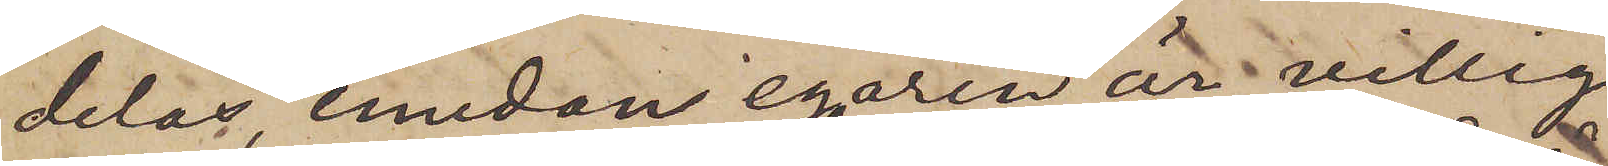delas, emedan egaren är villig
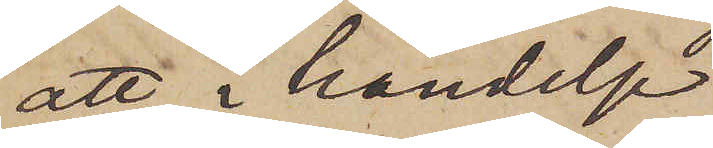att i händelse
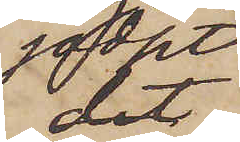godset
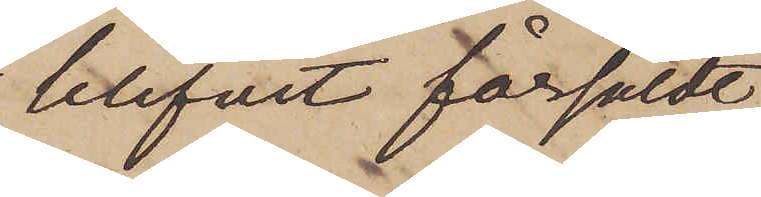blifvit försåldt,
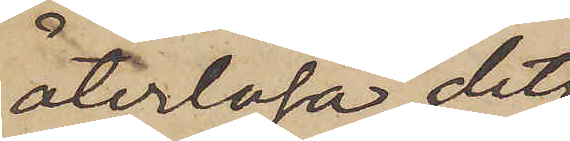återlösa det.
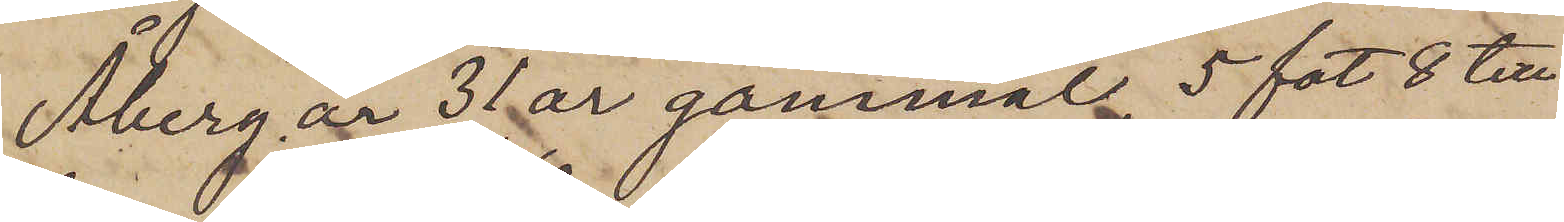Åberg är 31 år gammal 5 fot 8 till
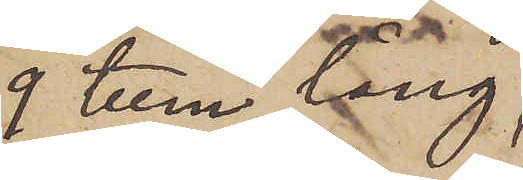9 tum lång,
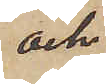och
